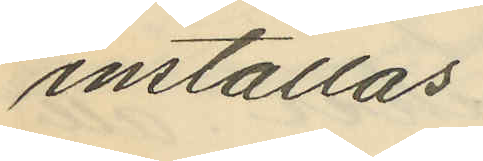inställas
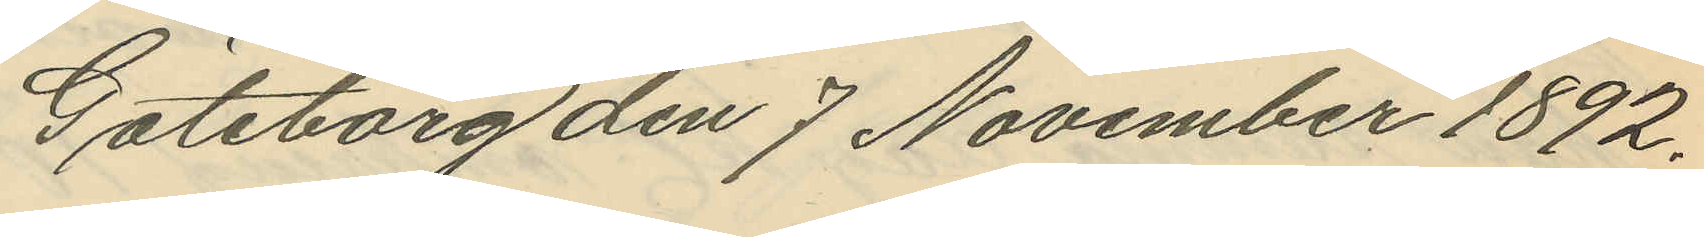Göteborg den 7 November 1892.
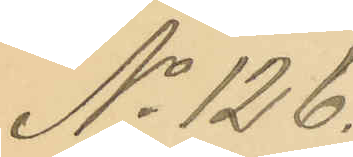No 126.
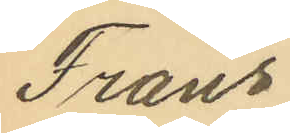Frans
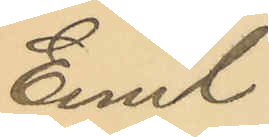Emil
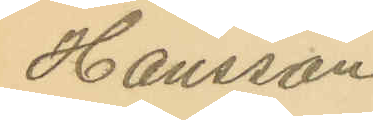Hansson
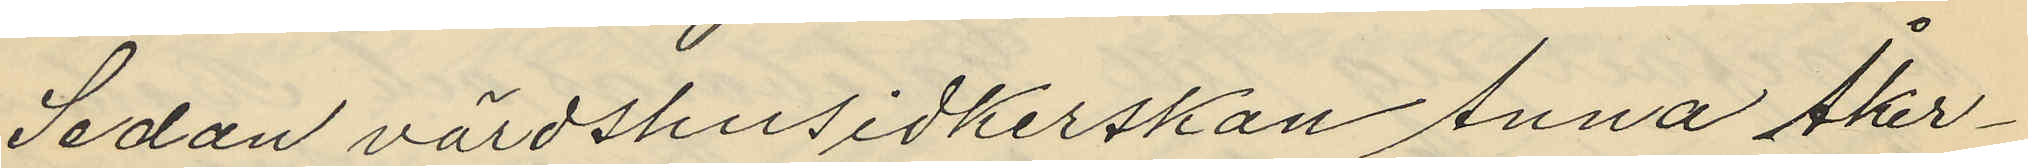Sedan värdshusidkerskan Anna Åker¬
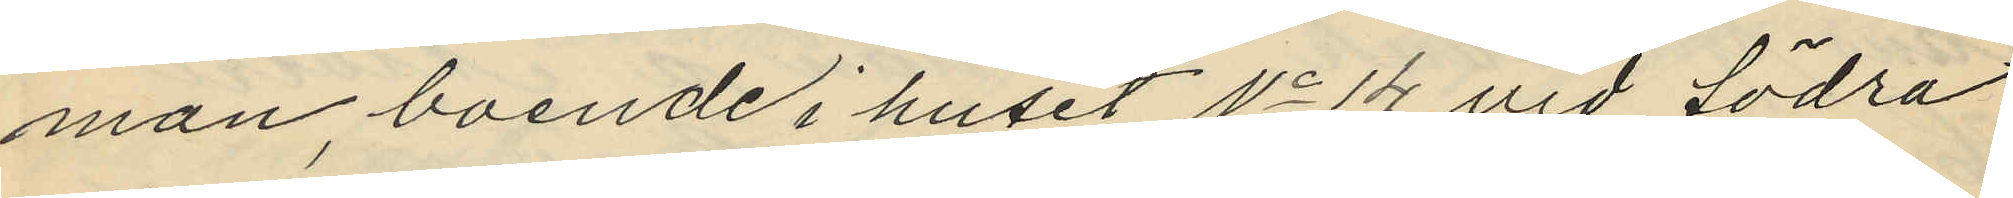man, boende i huset No 14 vid Södra
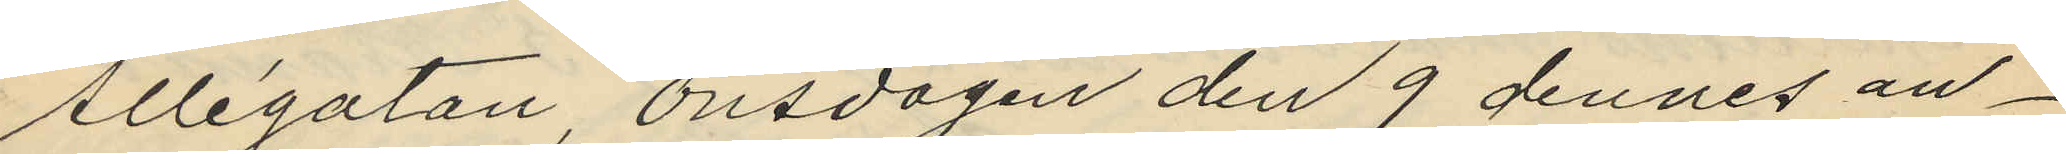Allégatan, onsdagen den 9 dennes an¬
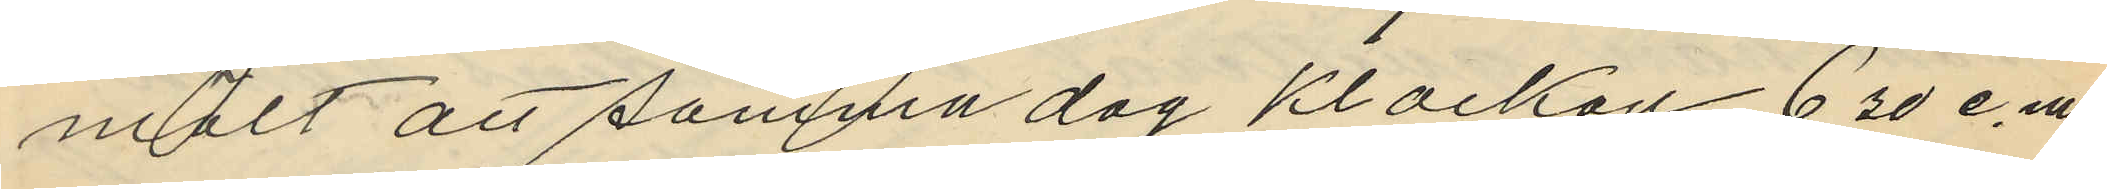mält att samma dag klockan 6,30 e.m
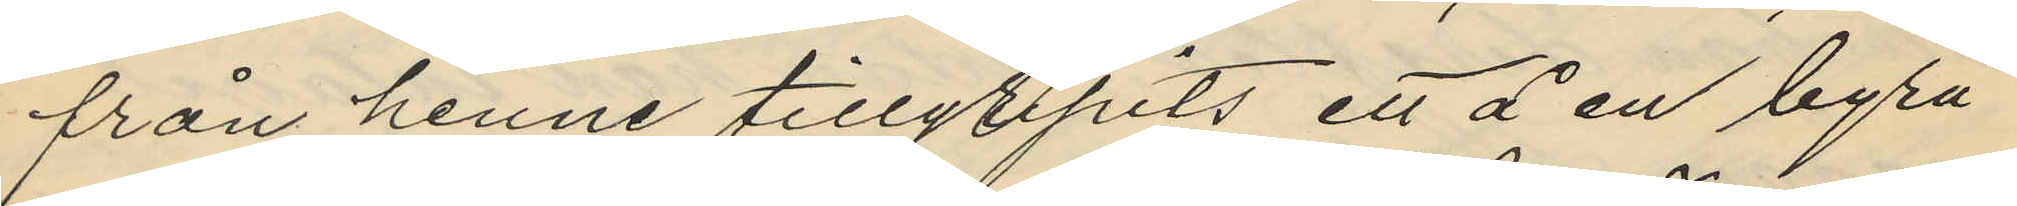från henne tillgripits ett å en byrå
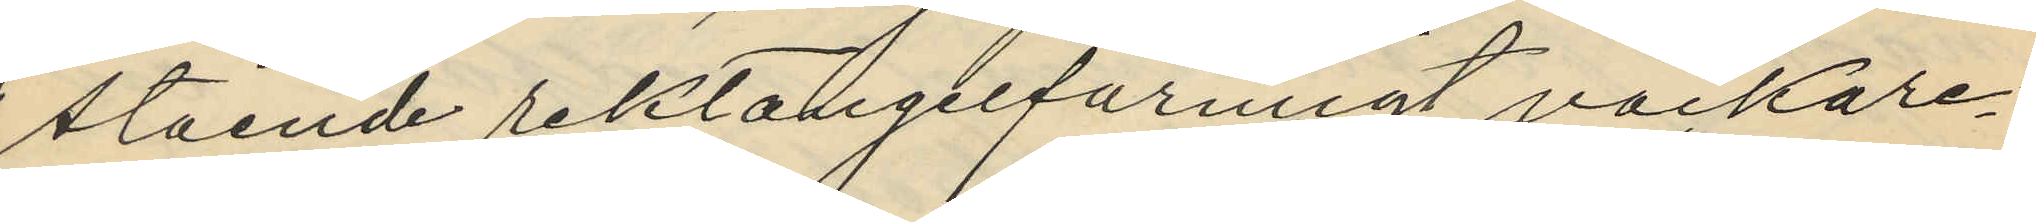stående rektangelformigt väckare¬
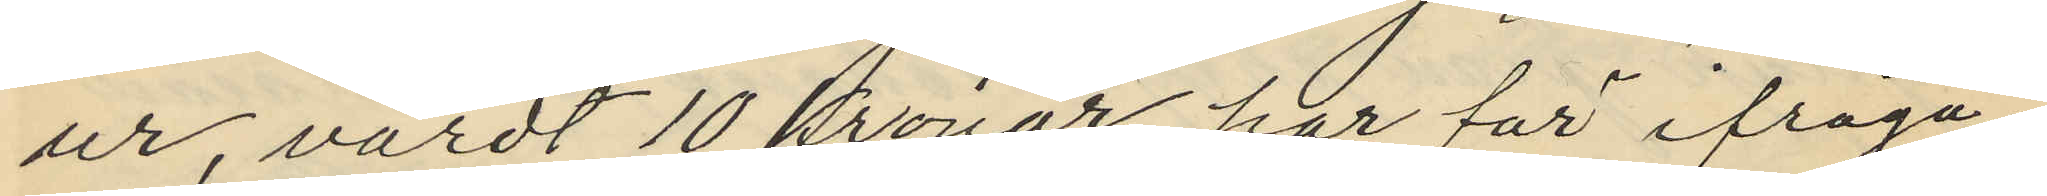ur, värdt 10 Kronor har för ifråga¬
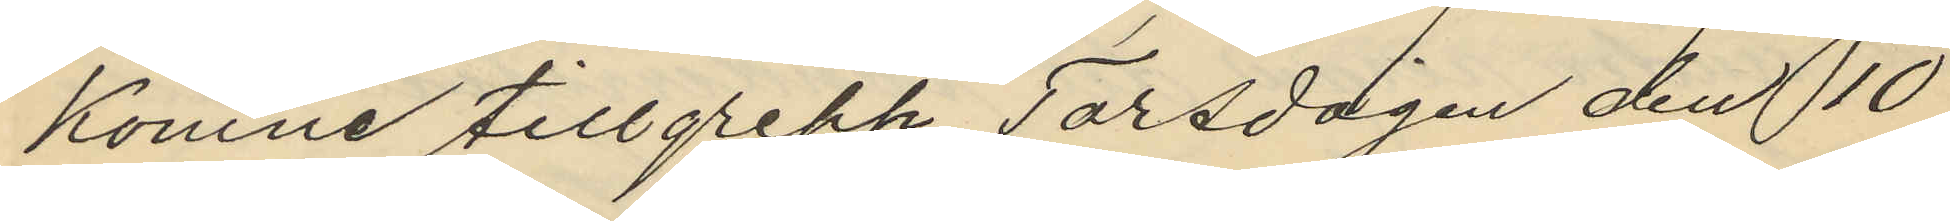komne tillgrepp Torsdagen den 10
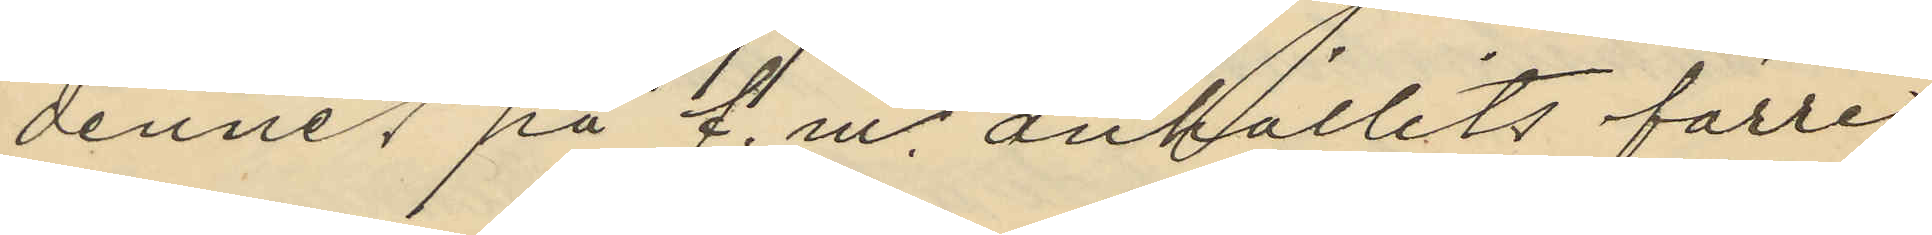dennes på f. m. anhållits förre
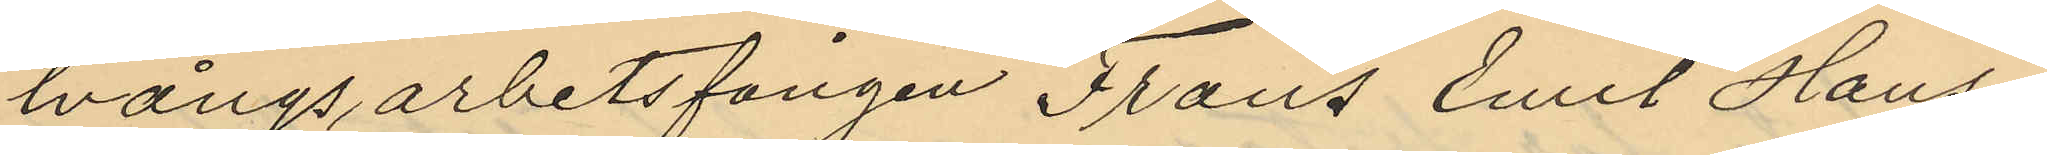tvångsarbetsfången Frans Emil Hans¬
